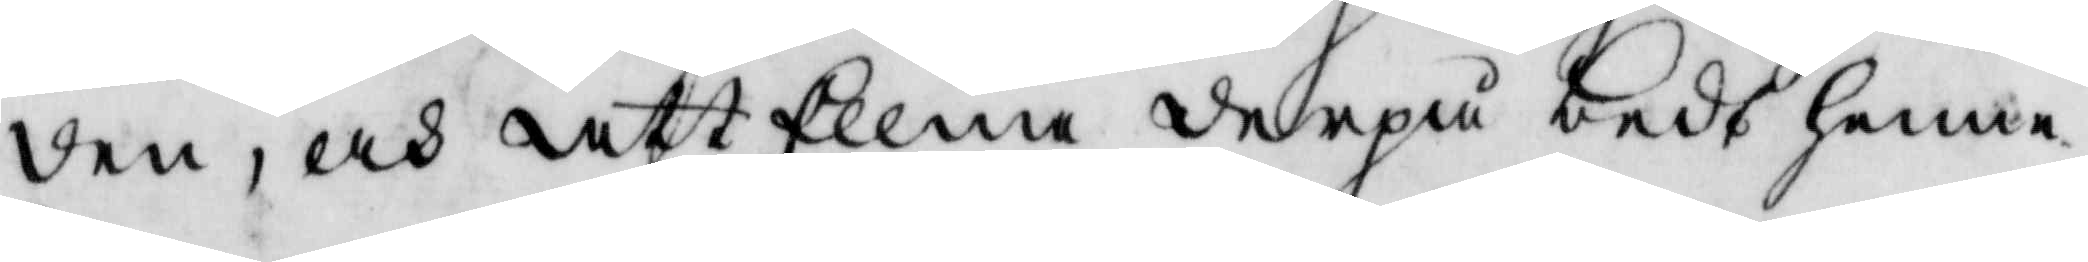den, och att Ellna derpå bedt henne
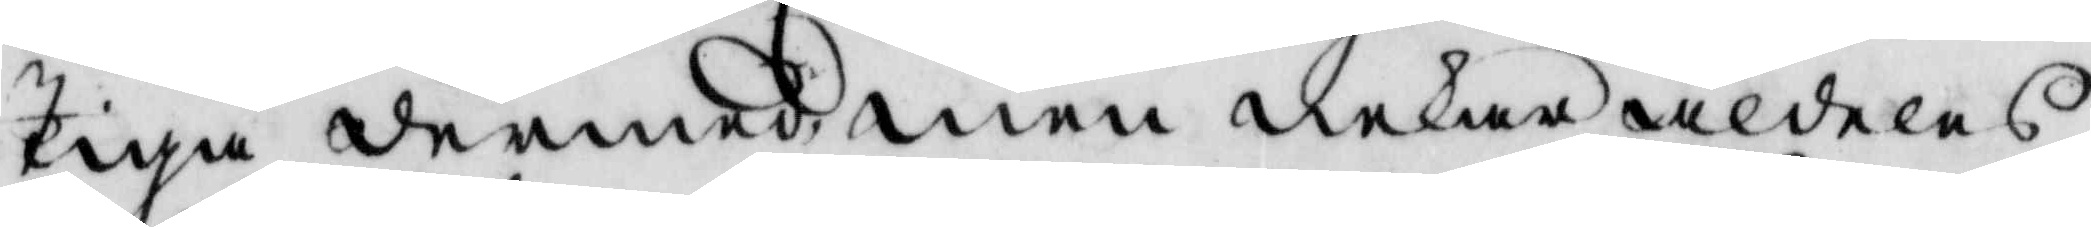Tiga dermed, men nekar aldeles
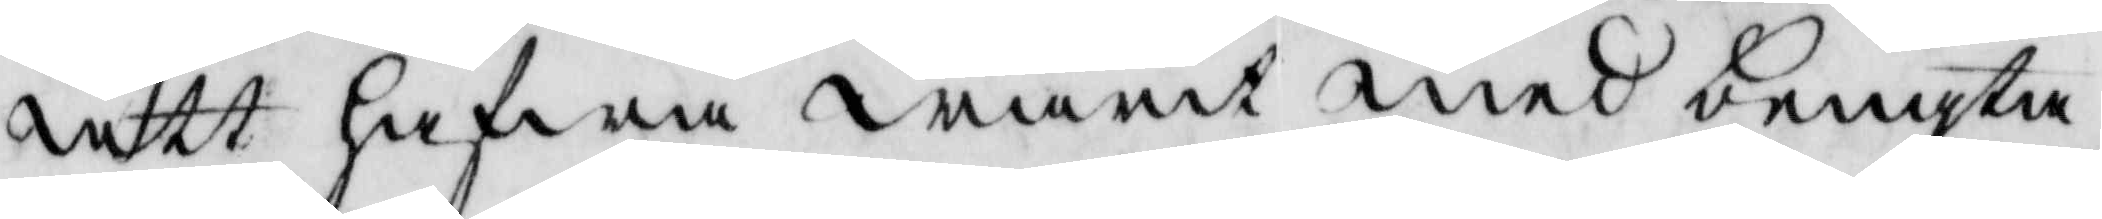att hafwa warit med bengta
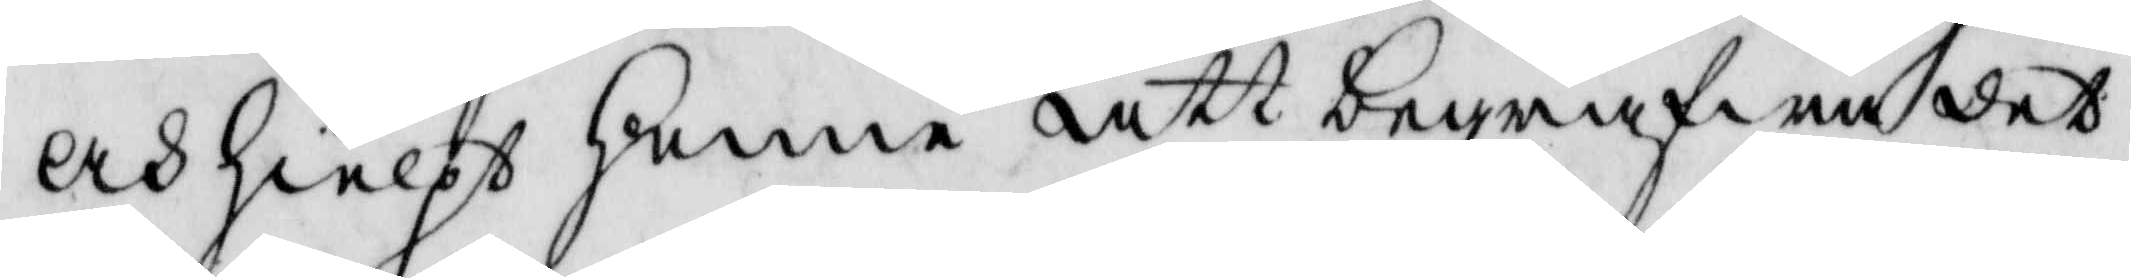och hielps henne att begrafwa det¬
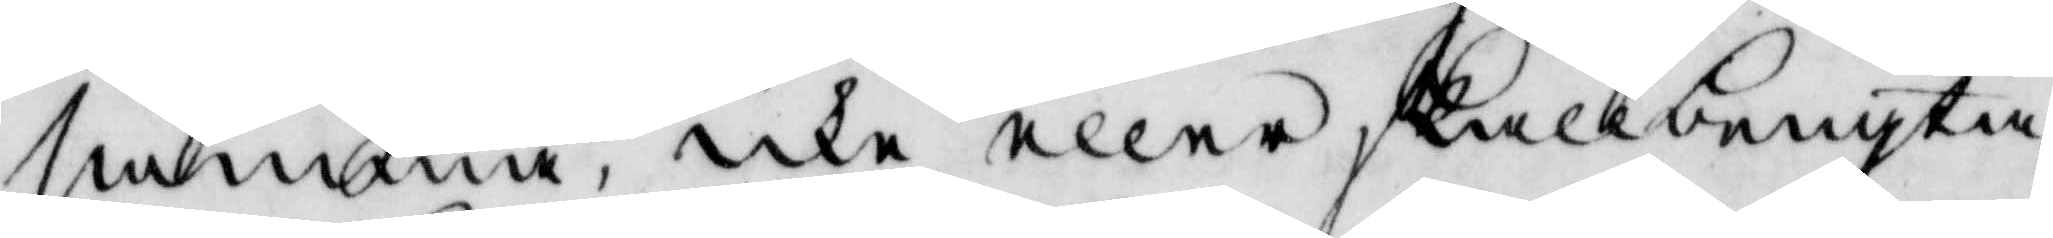samma, icke eller skall bengta
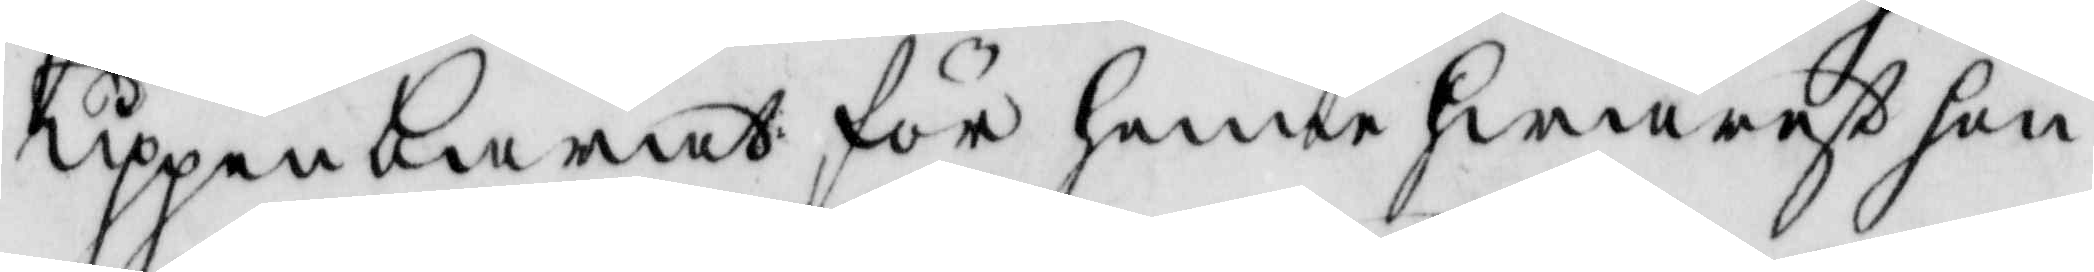uppenbarat för henne hwarest hon
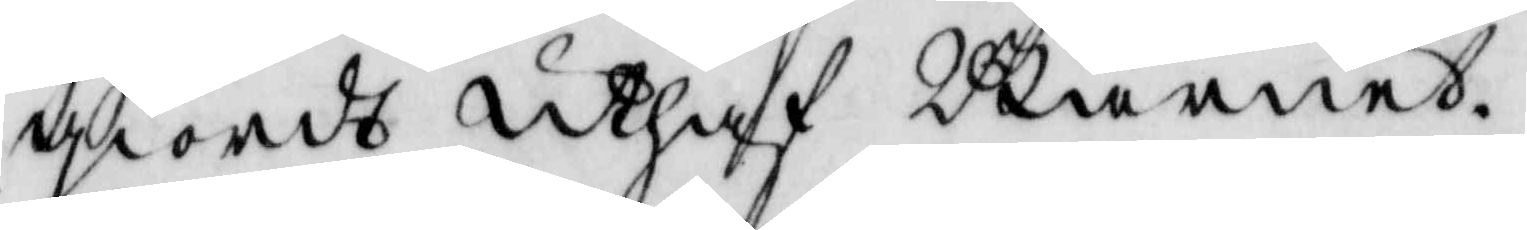giordt uthaf Barnet.
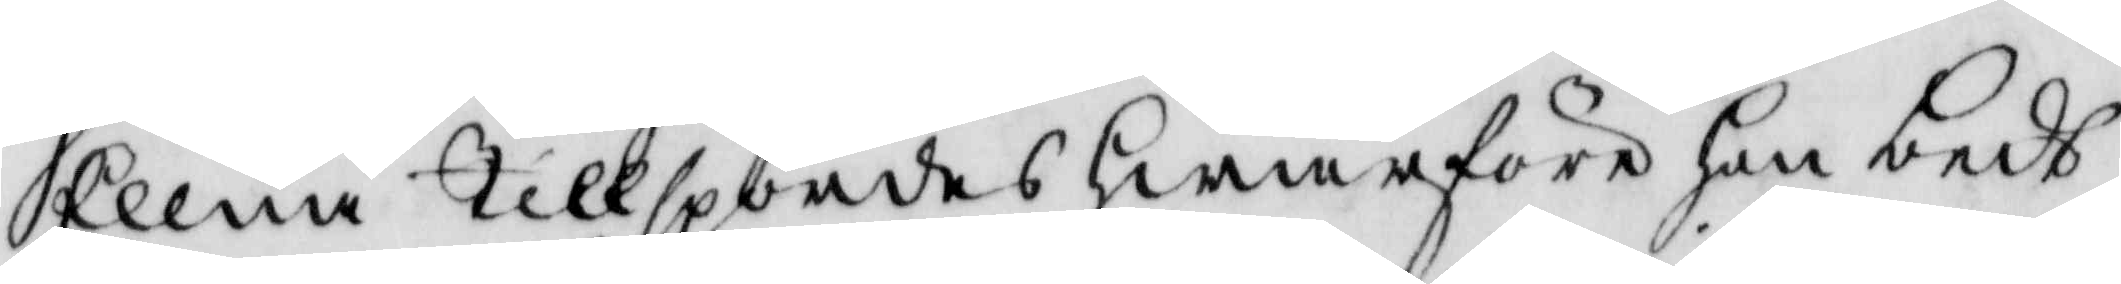Ellna Tillspordes hwarföre hon bedt
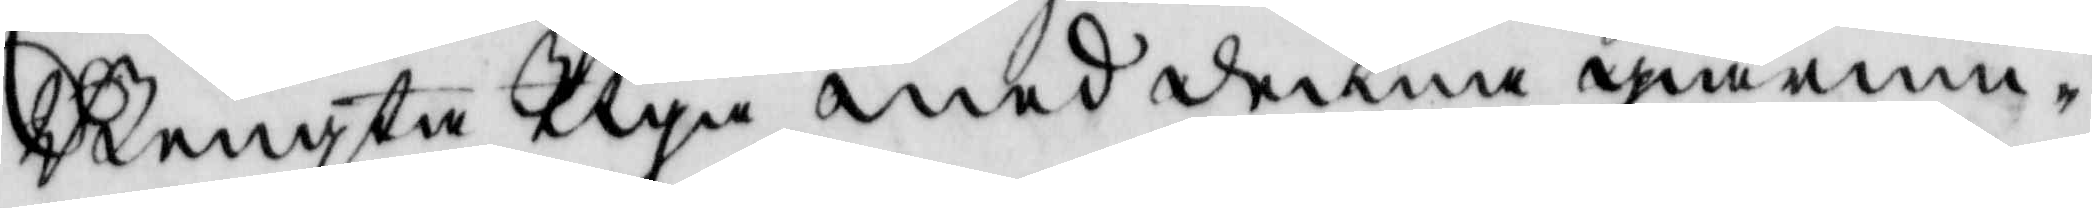Bengta Tiga med denna giärnin¬
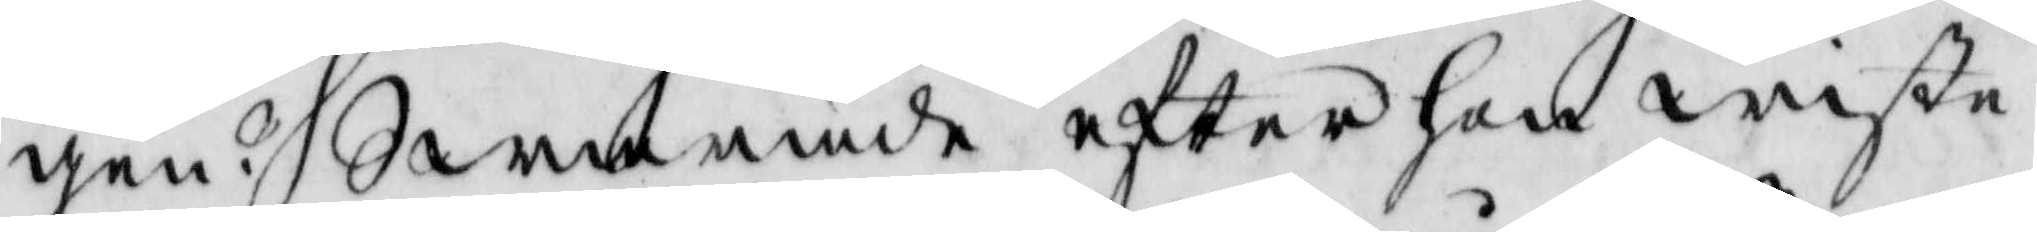gen? Swarade efter hon wiste
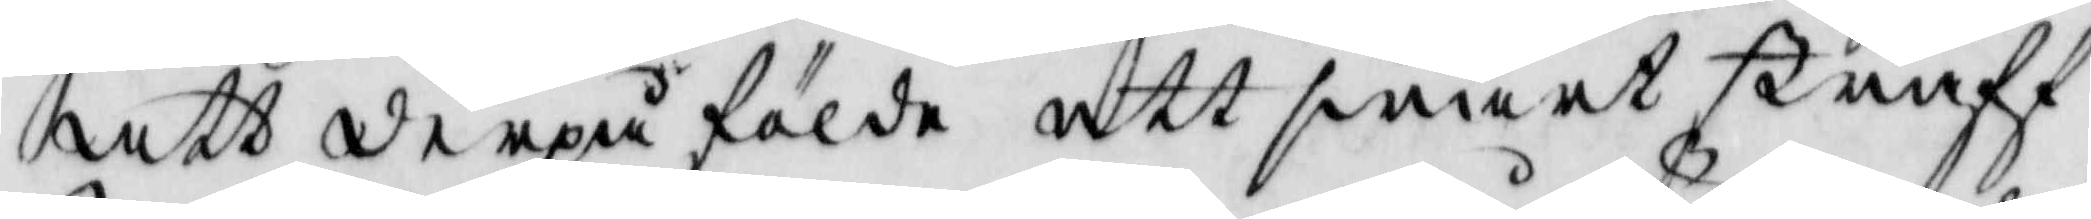att derpå földe ett swårt straff
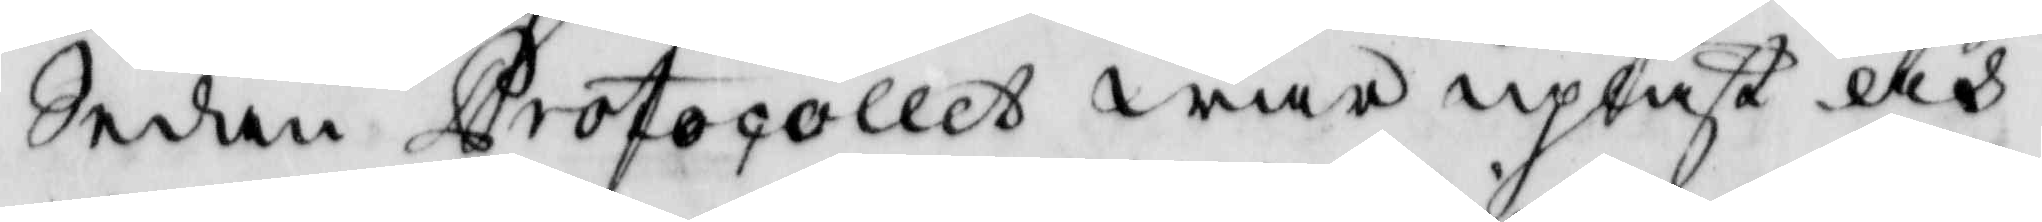sedan Protocollet war upläst och
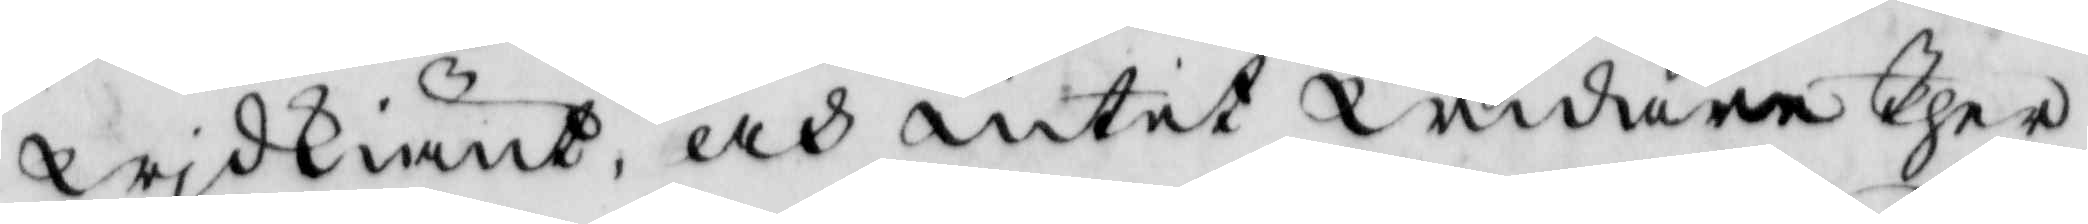wjdkiänt, och intet widare Ther
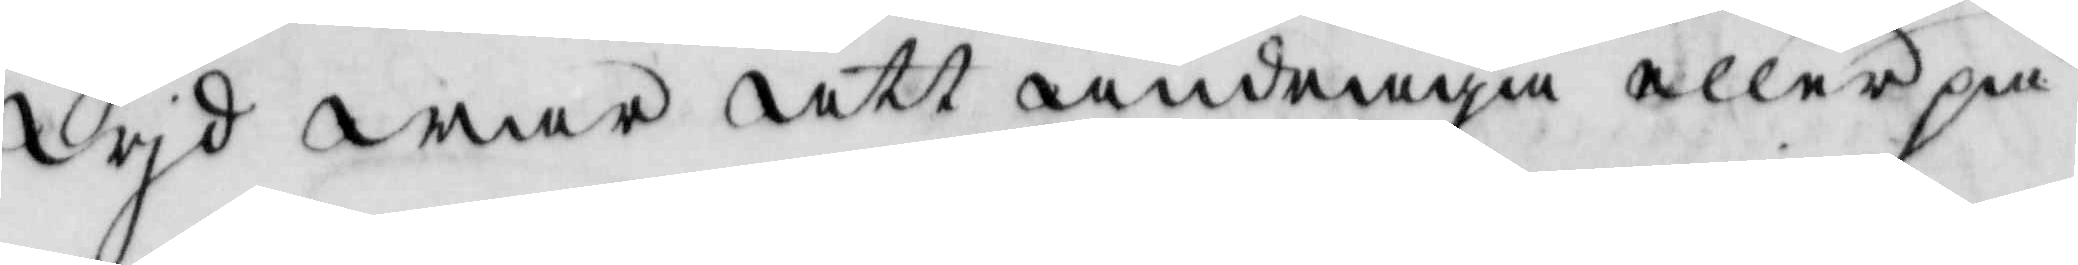wjd war att andraga eller på¬
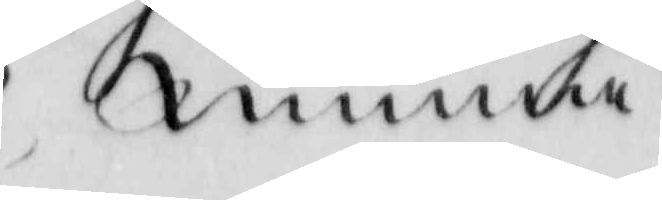minna 
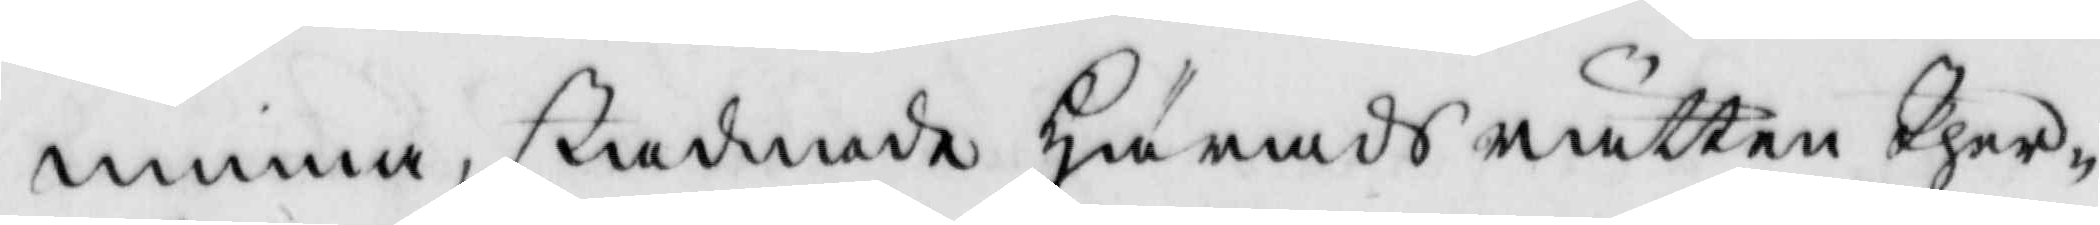minna, stadnade Härads rätten Ther¬
